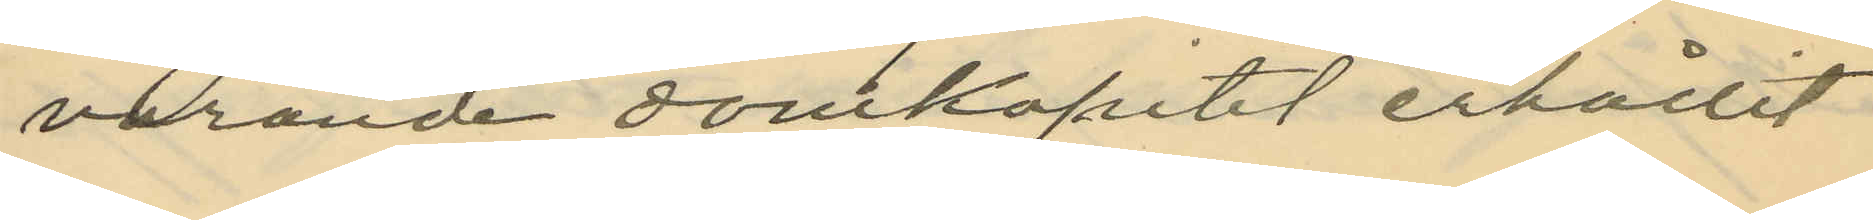varande domkapitel erhållit
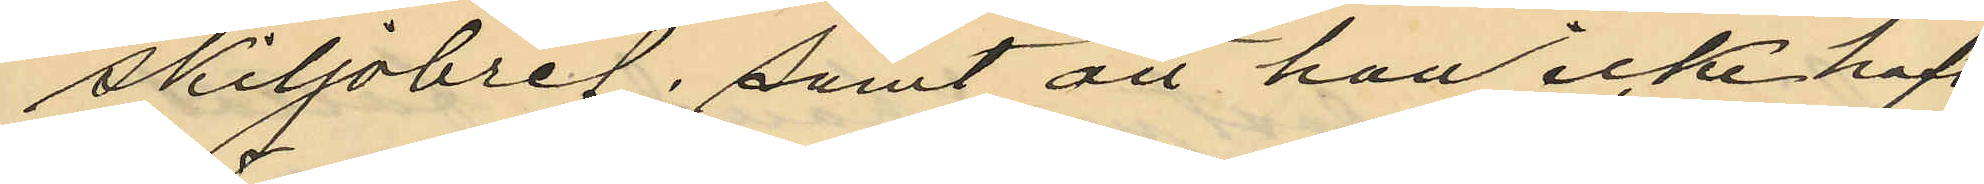skiljobref; samt att han icke haft
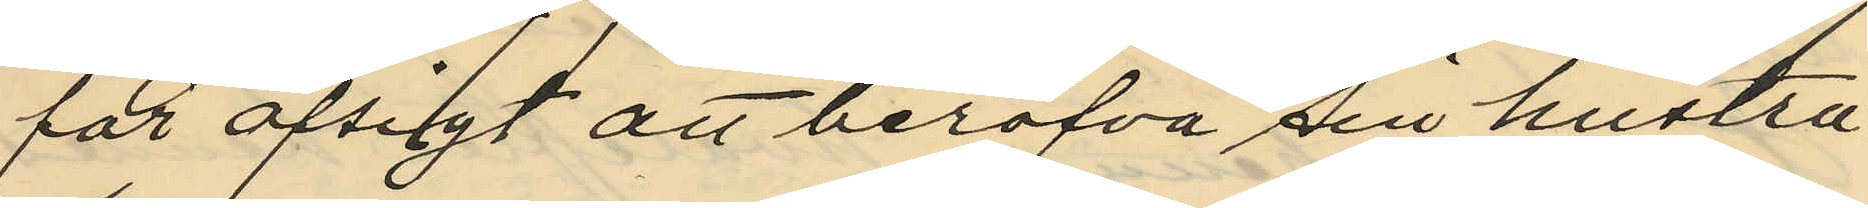för afsigt att beröfva sin hustru
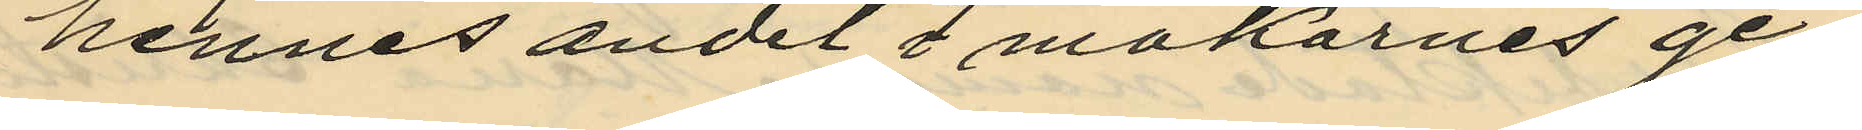hennes andel i makarnes ge¬
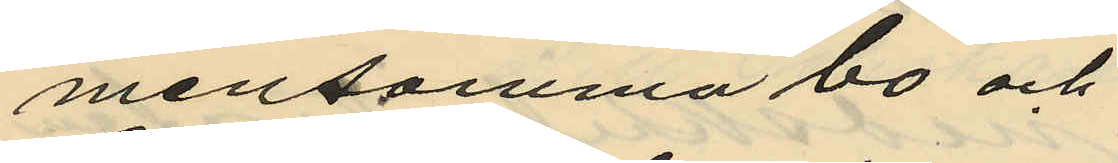mensamma bo och
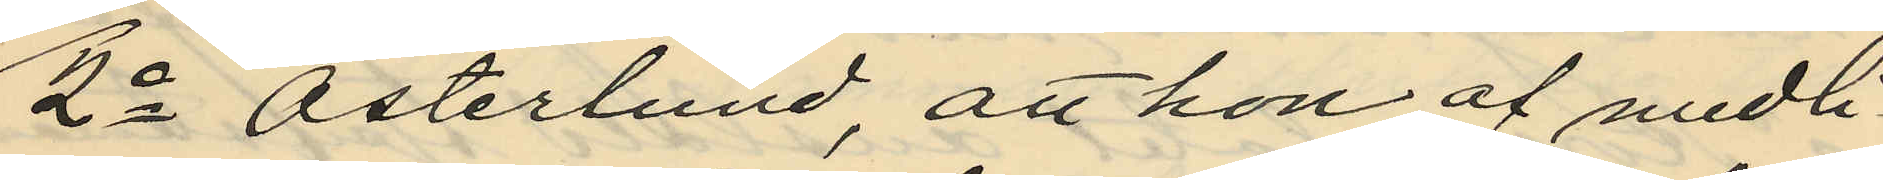2o Österlund, att hon af medli¬
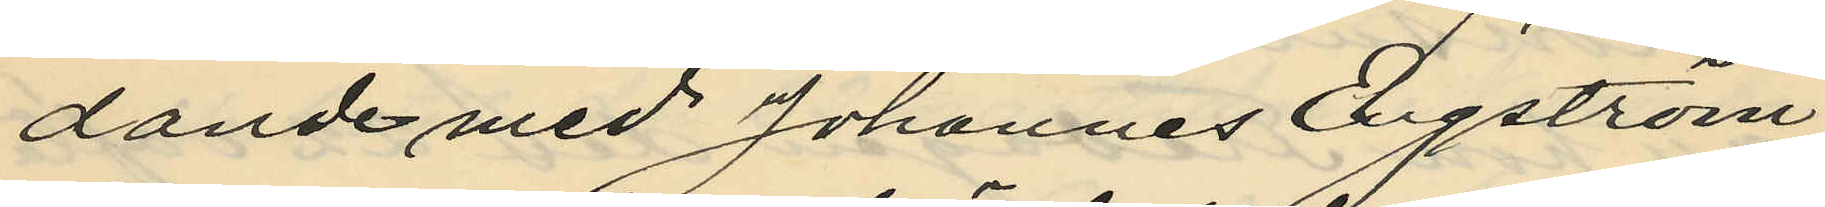dande med Johannes Engström
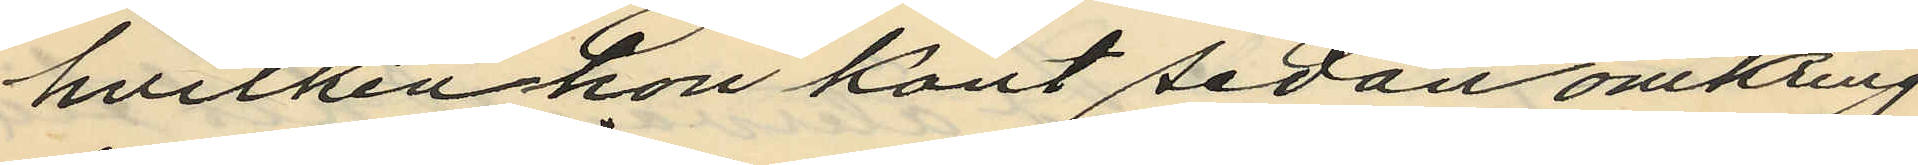hvilken hon känt sedan omkring
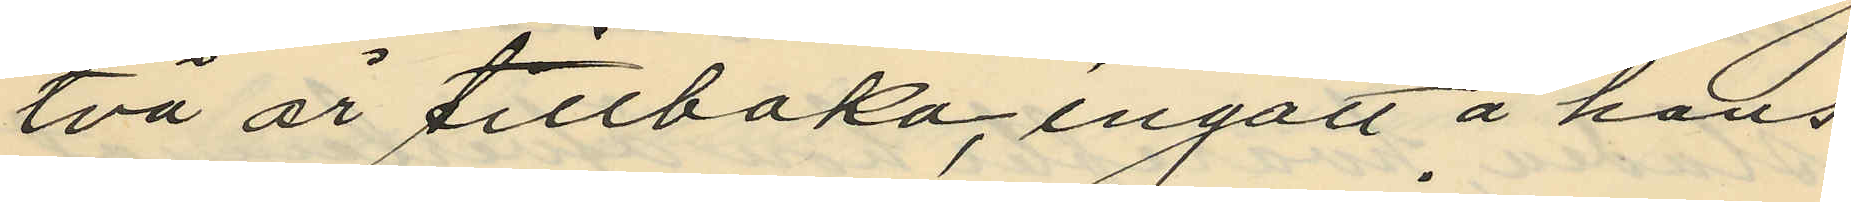två år tillbaka, ingått å hans
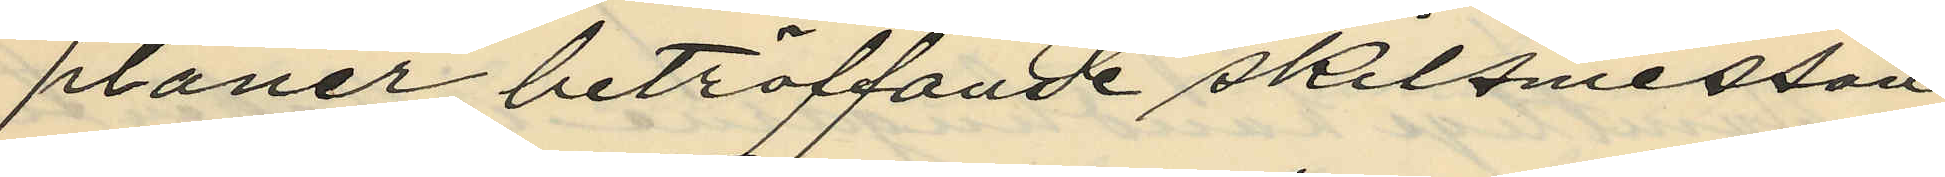planer beträffande skilsmessan
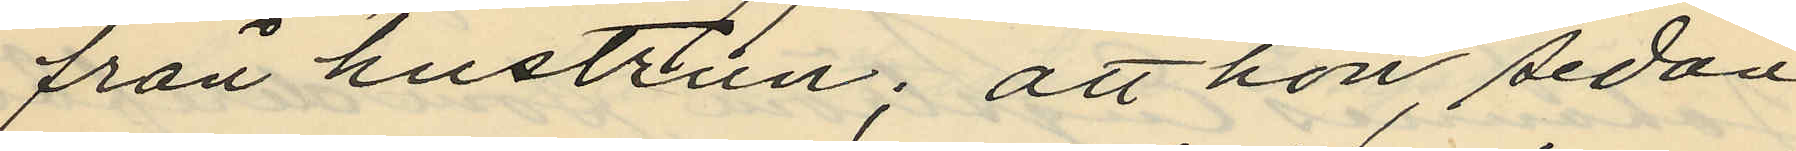från hustrun; att hon, sedan
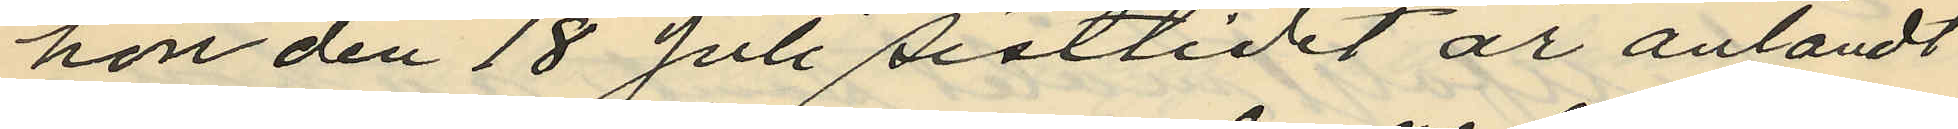hon den 18 Juli sistlidet år anländt
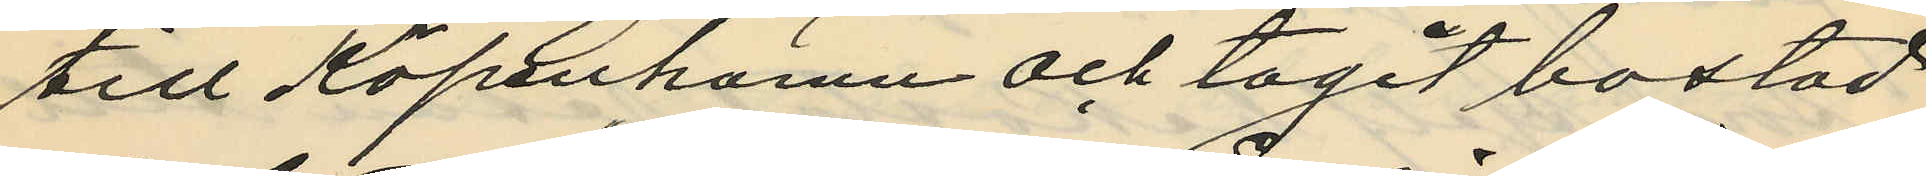till Köpenhamn och tagit bostad
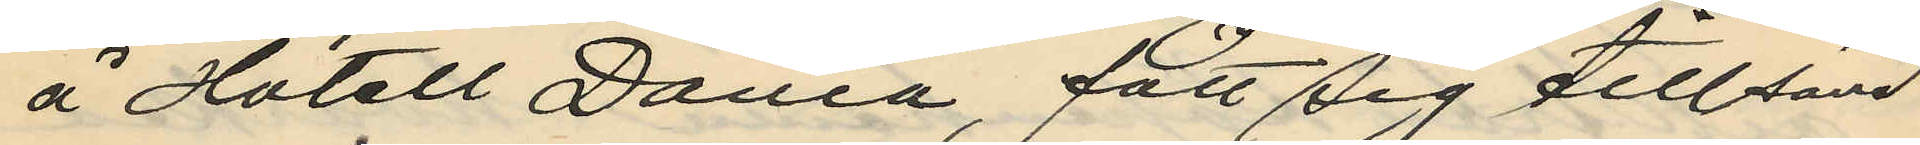å "Hotell Dania", fått sig tillsänd
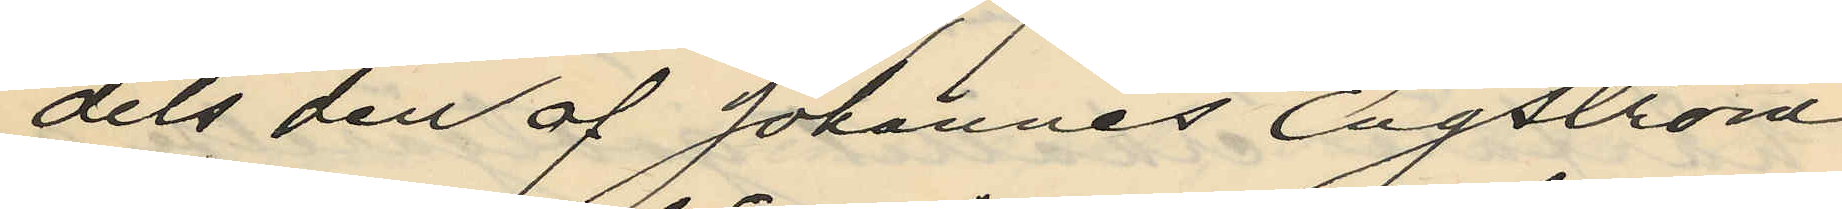dels den af Johannes Engström
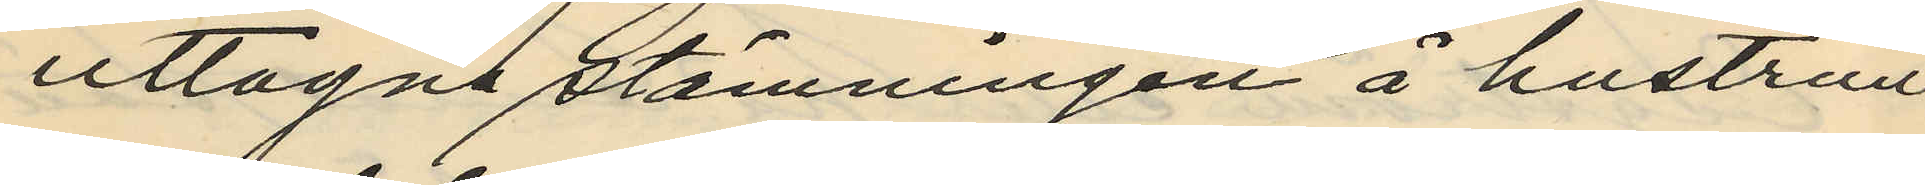uttagne stämningen å hustrun
